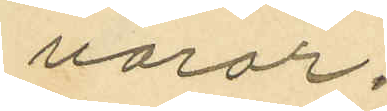varor.
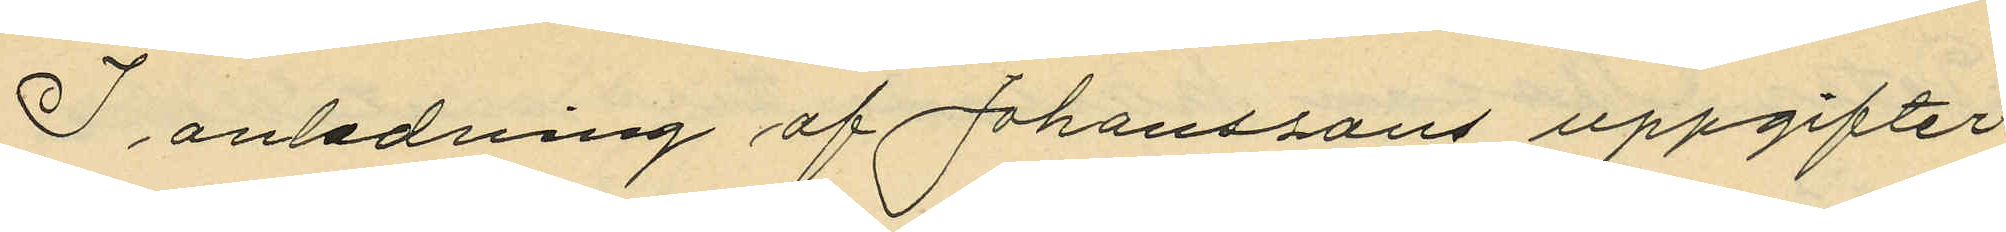I anledning af Johanssons uppgifter
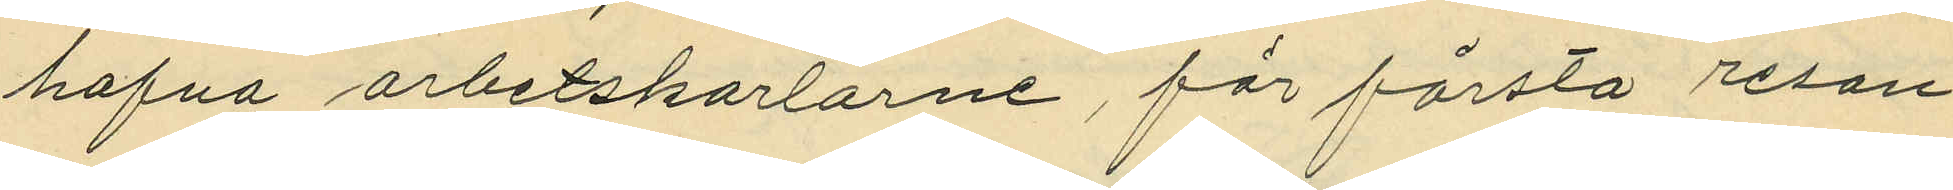hafva arbetskarlarne, för första resan
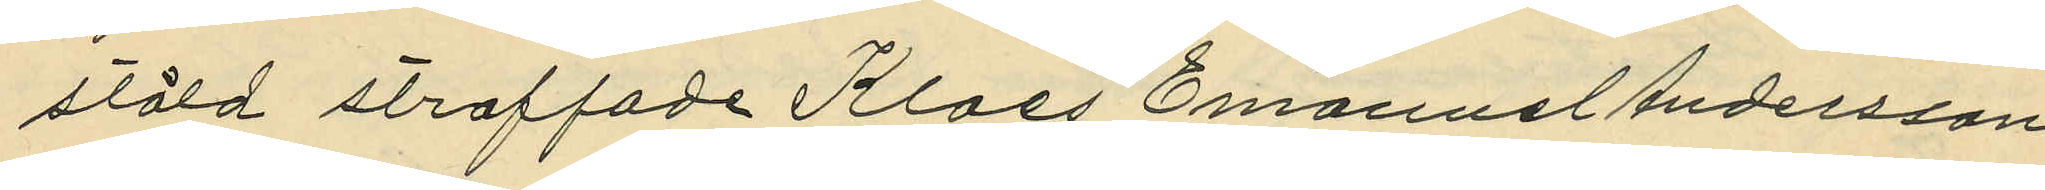stöld straffade Klaes Emanuel Andersson
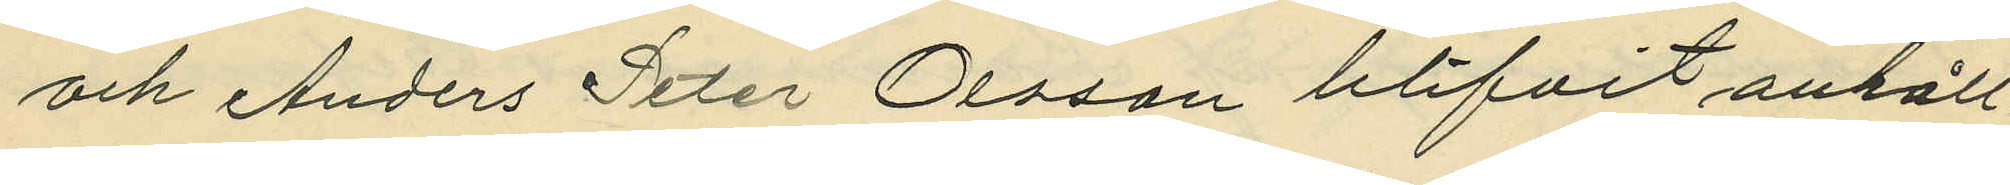och Anders Peter Olsson blifvit anhåll¬
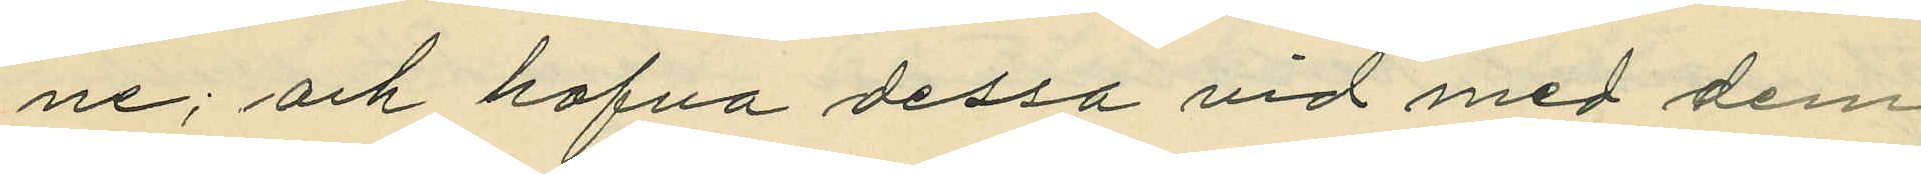ne; och hafva dessa vid med dem
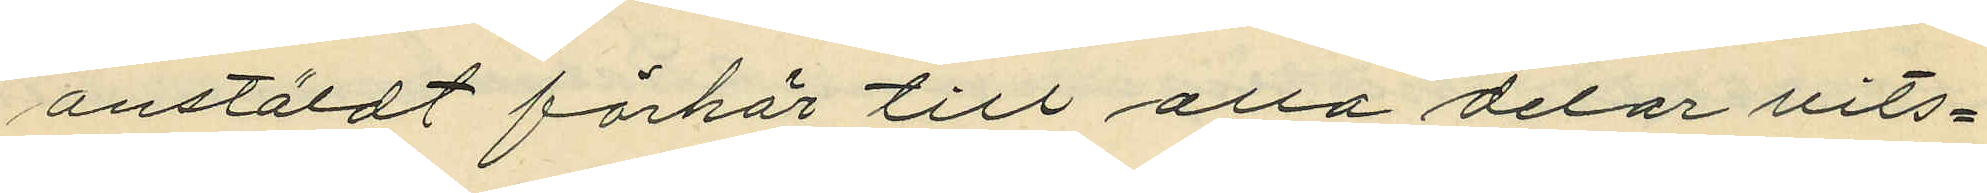anstäldt förhör till alla delar vits¬
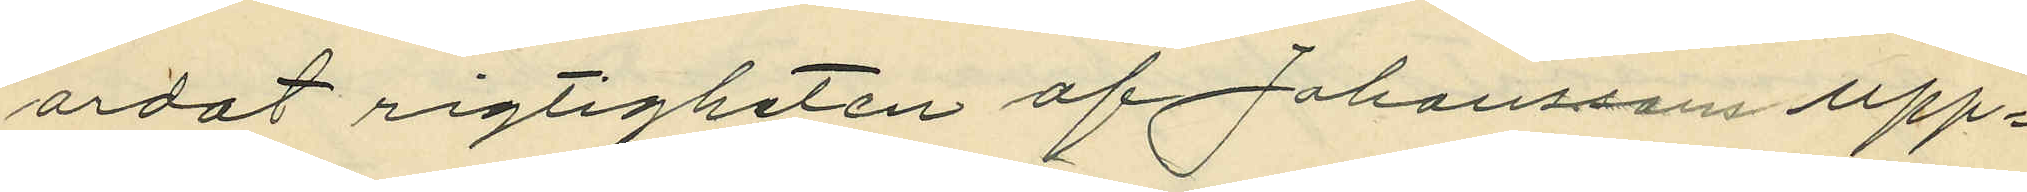ordat rigtigheten af Johanssons upp¬
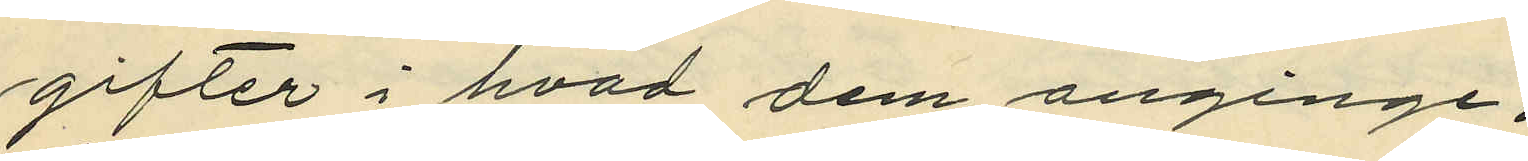gifter i hvad dem anginge;
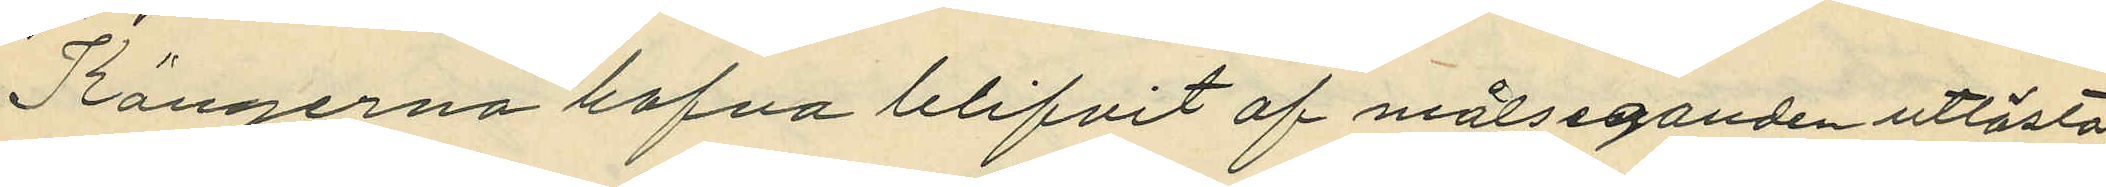Kängerna hafva blifvit af målseganden utlösta,
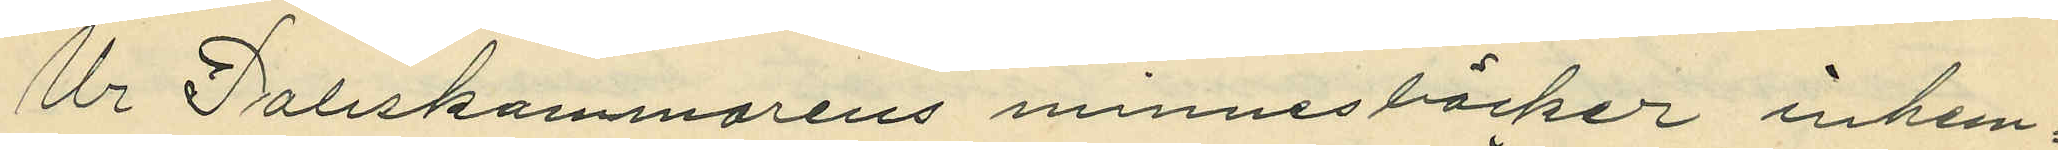Ur Poliskammarens minnesböcker inhem¬
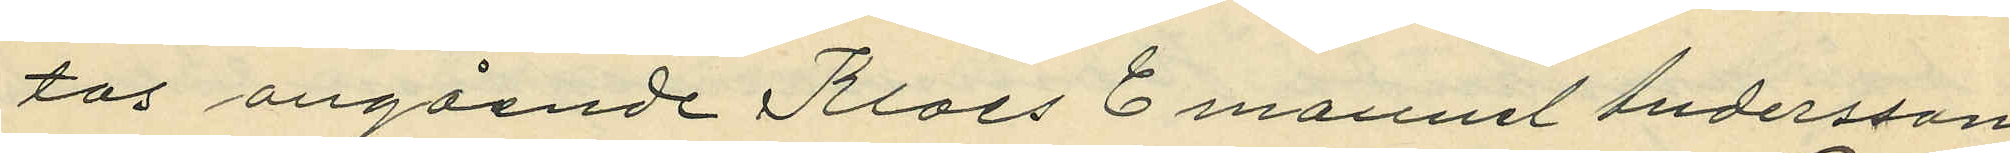tas angående Klaes Emanuel Andersson
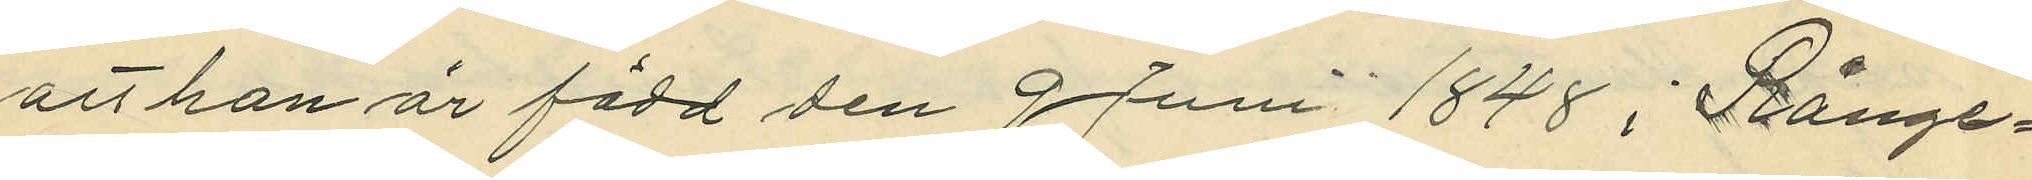att han är född den 9 Juni 1848 i Rånge¬
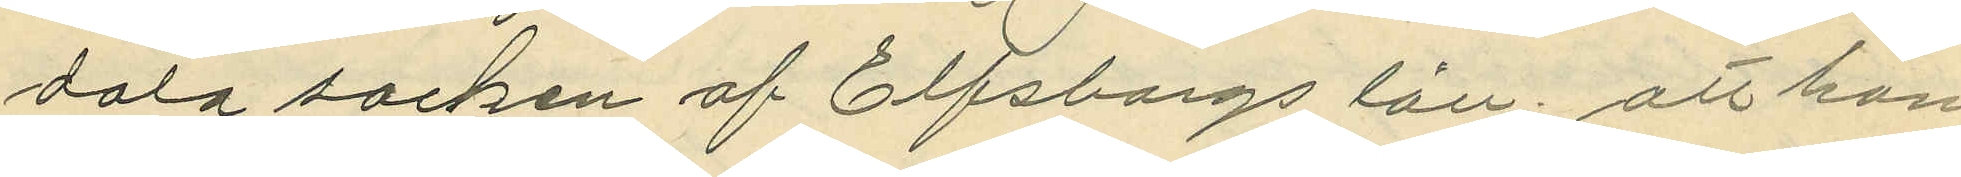dala socken af Elfsborgs län; att han
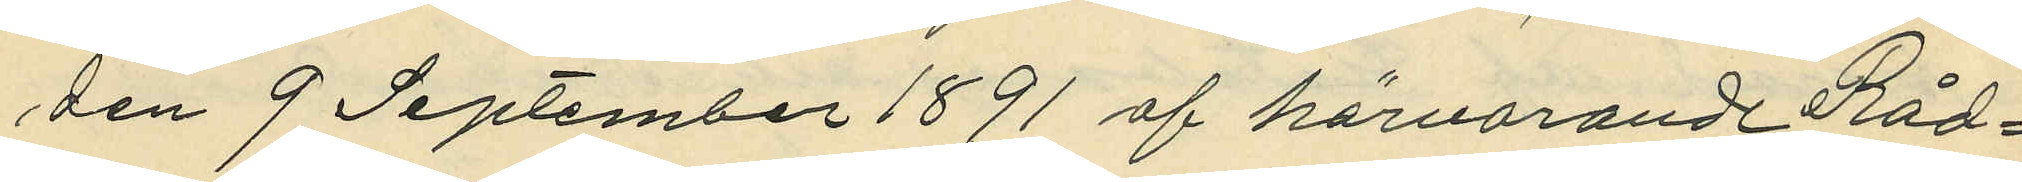den 9 September 1891 af härvarande Råd¬
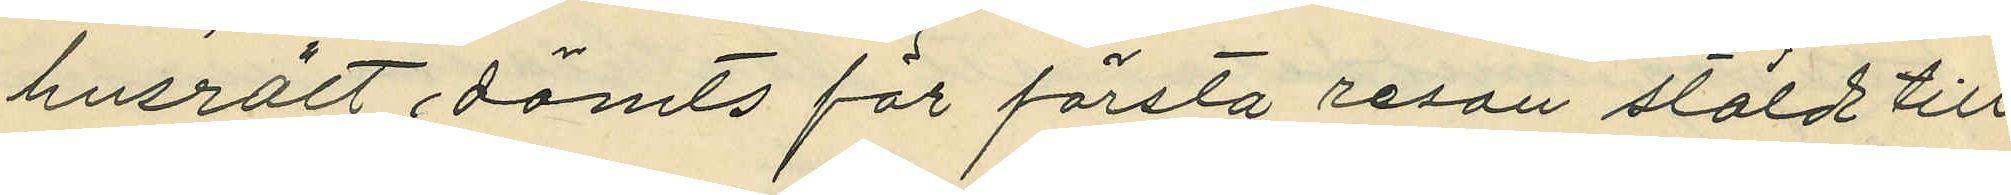husrätt, dömts för första resan stöld till
